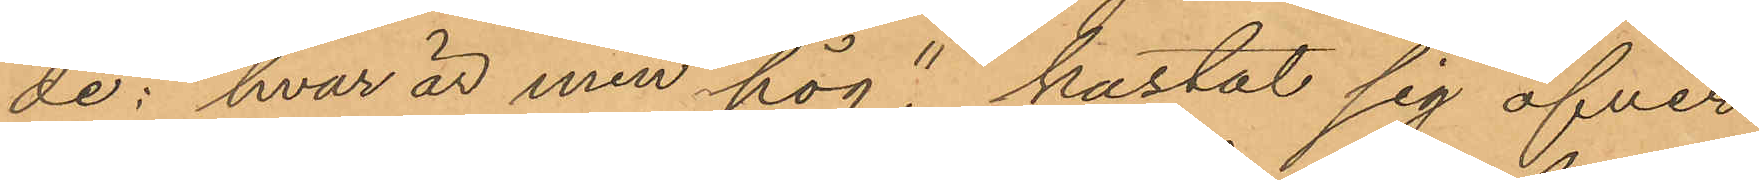de: "hvar är min hög", kastat sig öfver
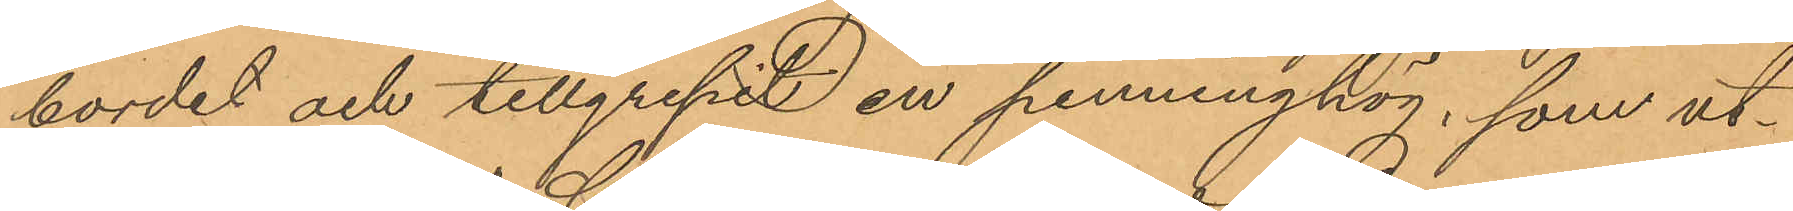bordet och tillgripit en penninghög, som ut¬
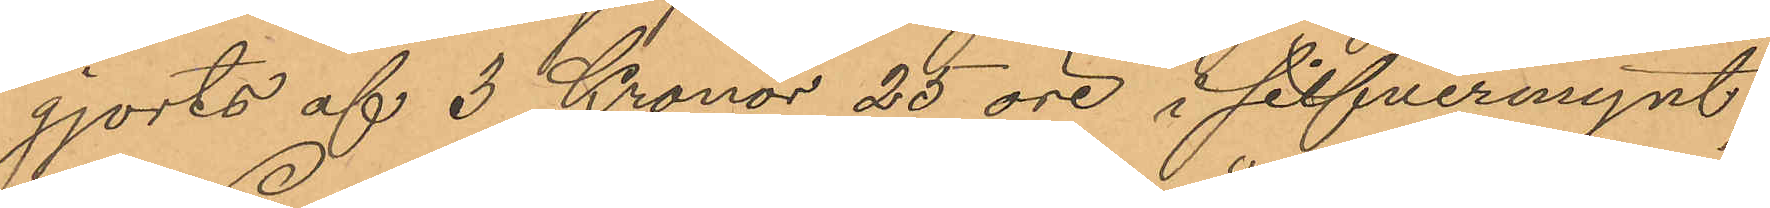gjorts af 3 Kronor 25 öre i silfvermynt;
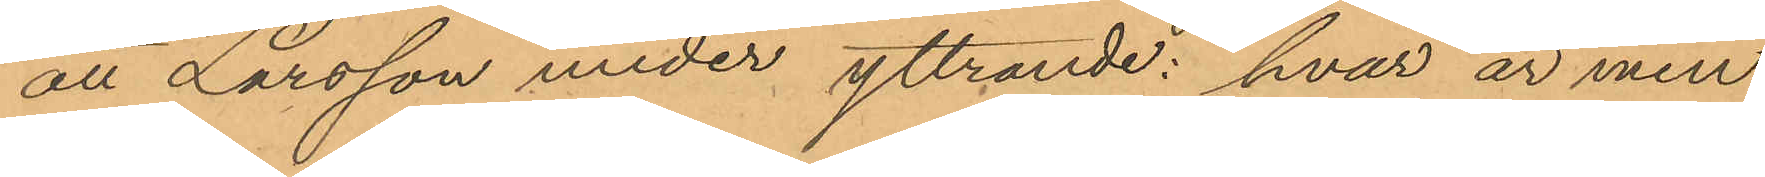att Larsson under yttrande: "hvar är min
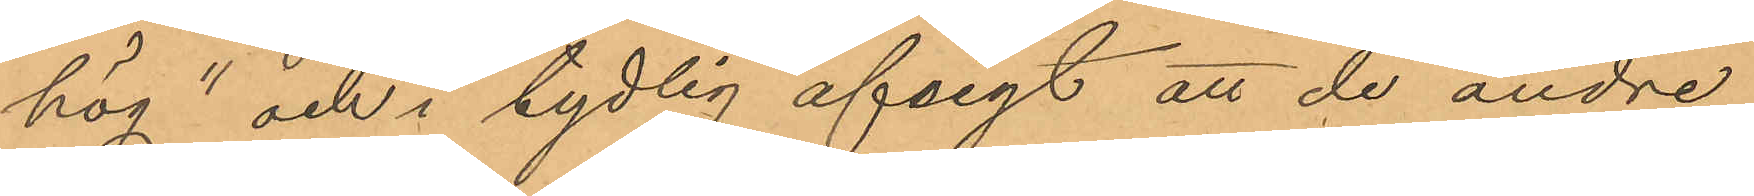hög" och i tydlig afsigt att de andre
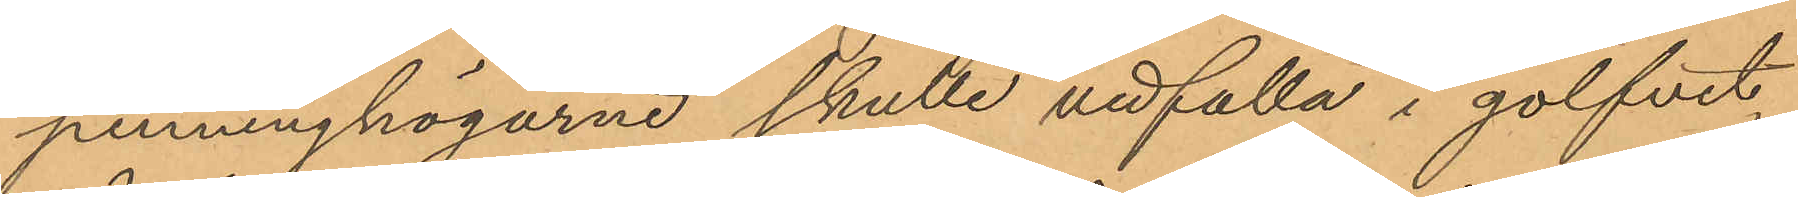penninghögarne skulle nedfalla i golfvet,
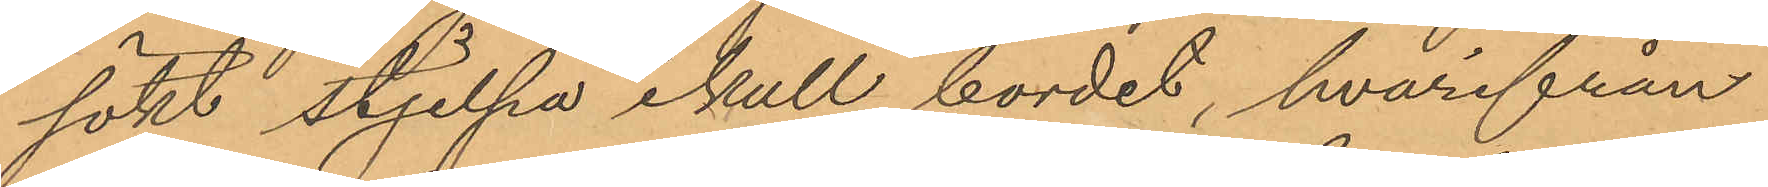sökt stjelpa ikull bordet, hvarifrån
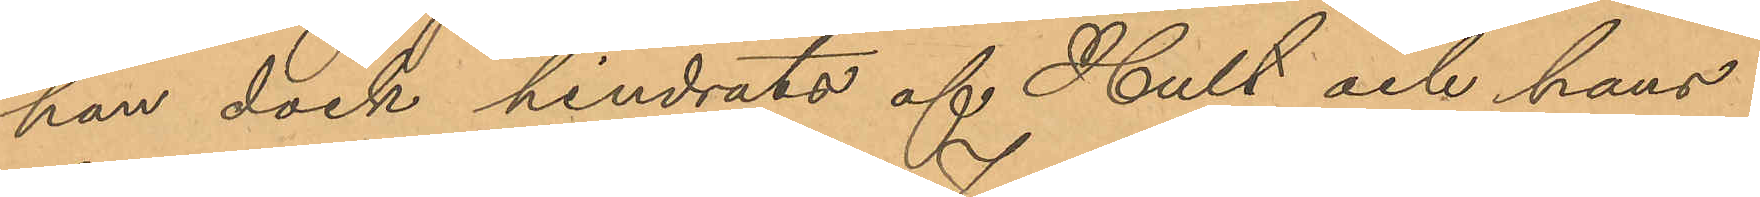han dock hindrats af Hult och hans
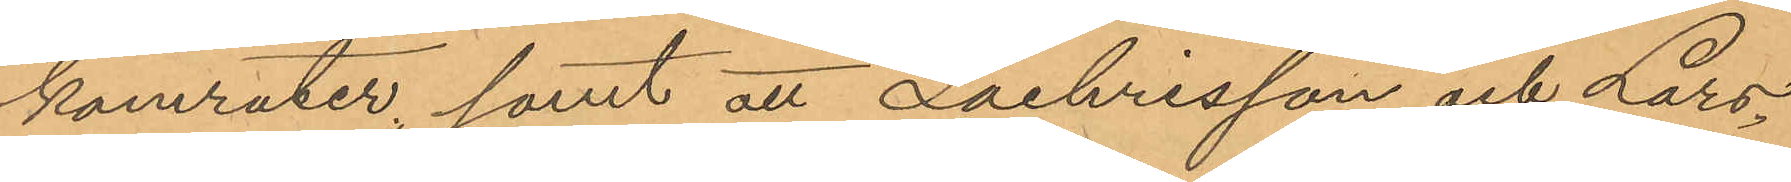kamrater, samt att Zachrisson och Lars¬
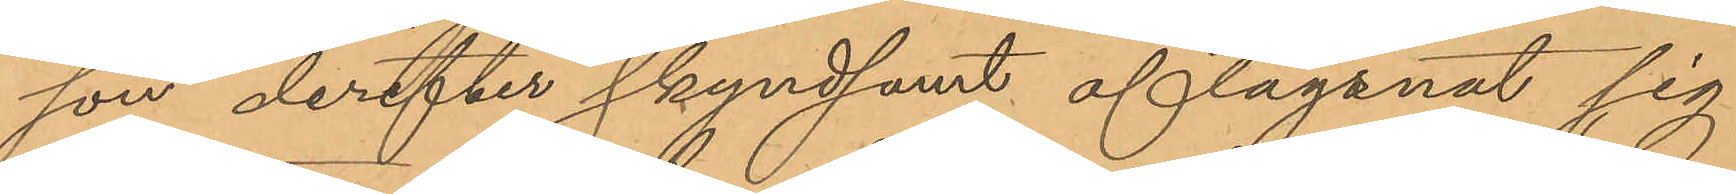son derefter skyndsamt aflägsnat sig
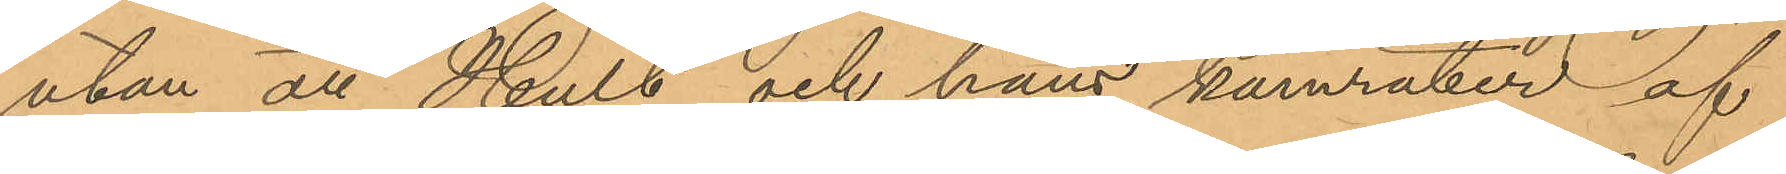utan att Hult och hans kamrater af
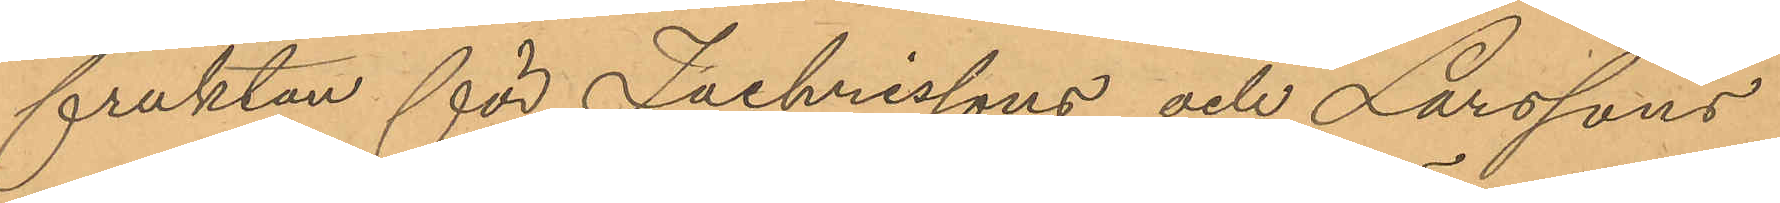fruktan för Zachrissons och Larssons
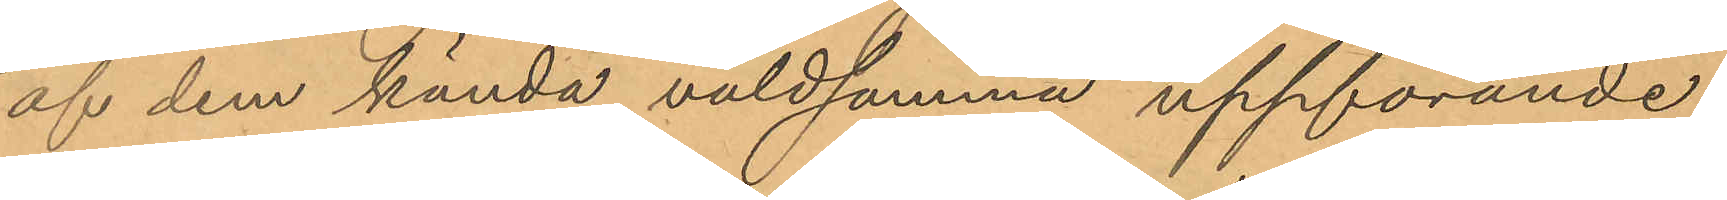af dem kända våldsamma uppförande
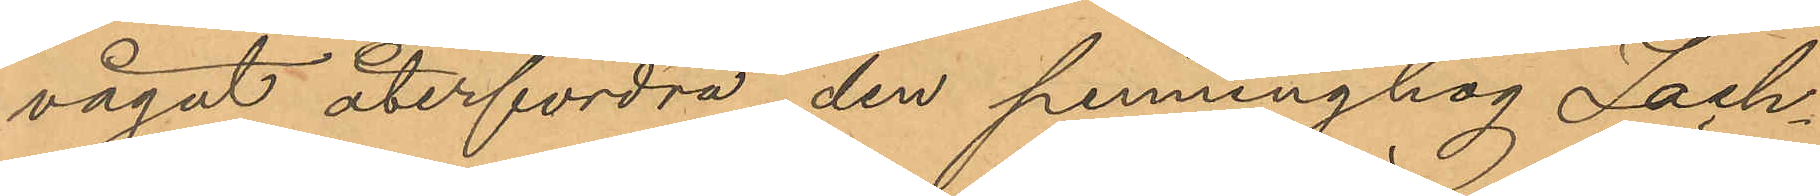vågat återfordra den penninghög Zach¬
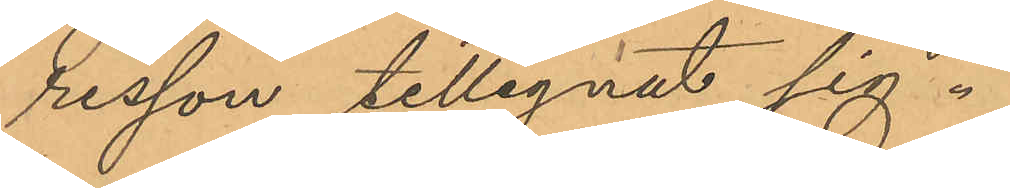risson tillegnat sig.
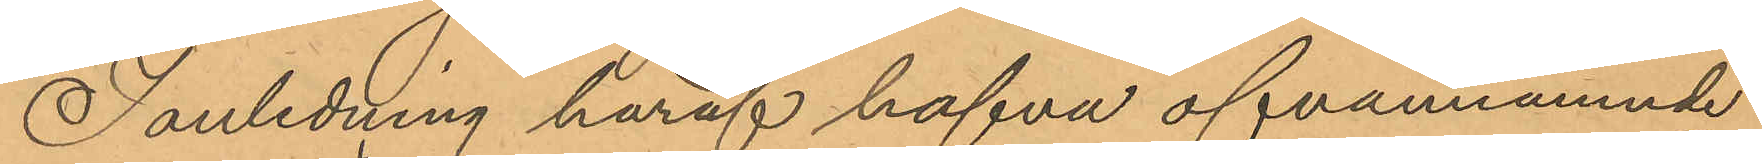I anledning häraf hafva ofvannämnde
